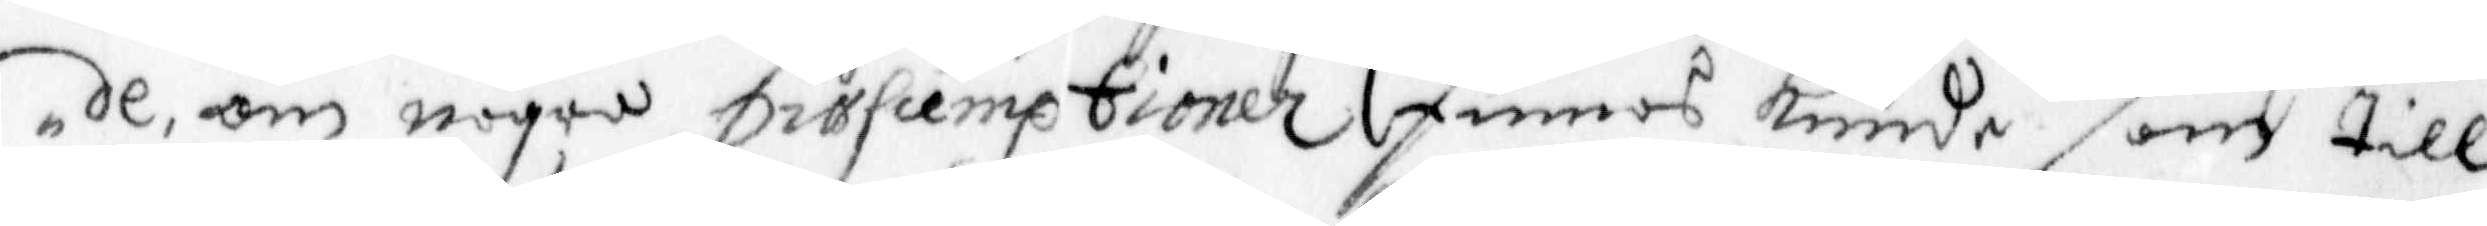de, om några prasumptionen Finnas Kunde som till¬
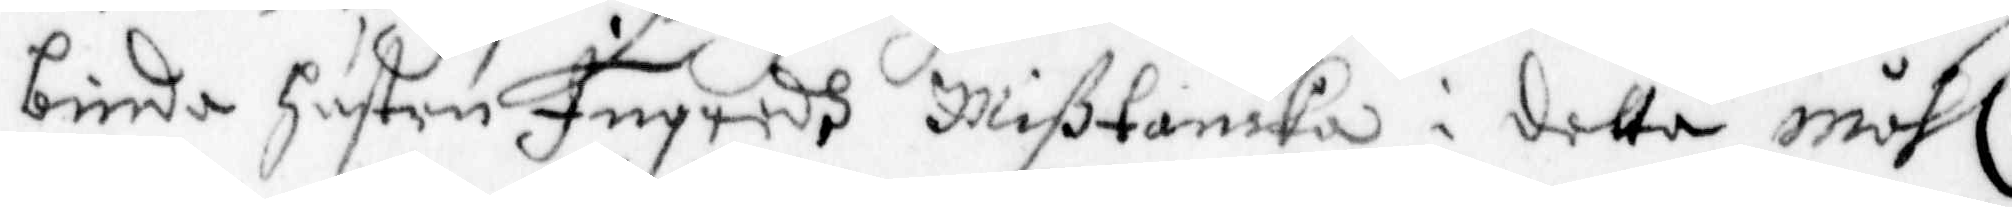binda Hustru Ingredh mißtanka i detta måhl,
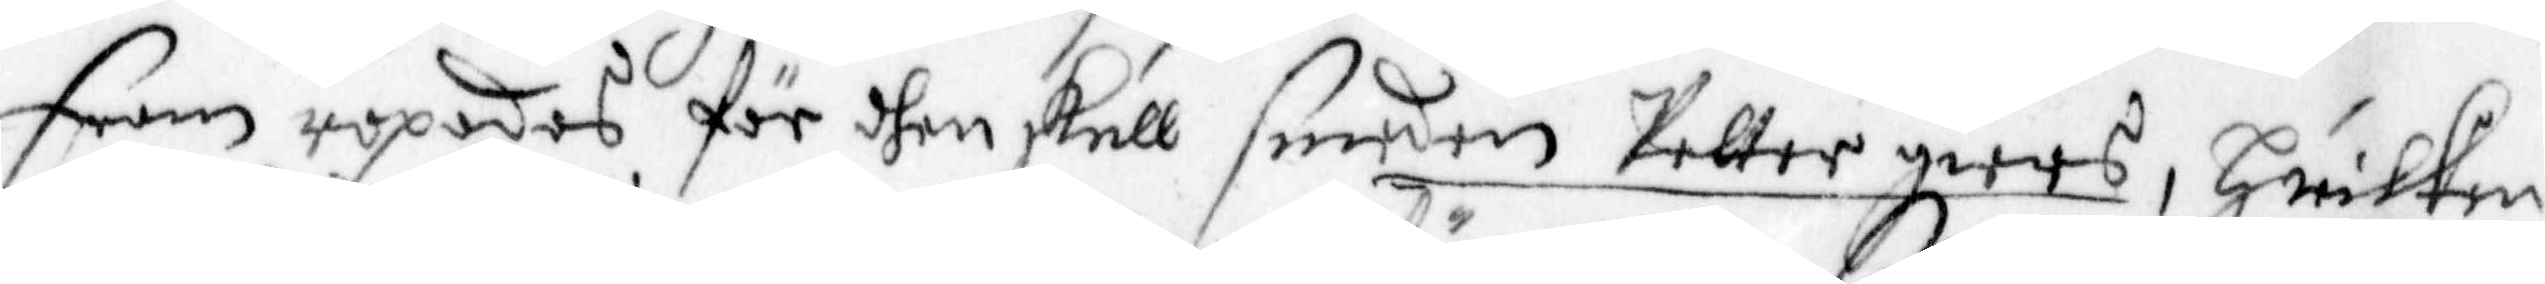Fram ropades, för dhen skull seeden Petter giers, hwilken
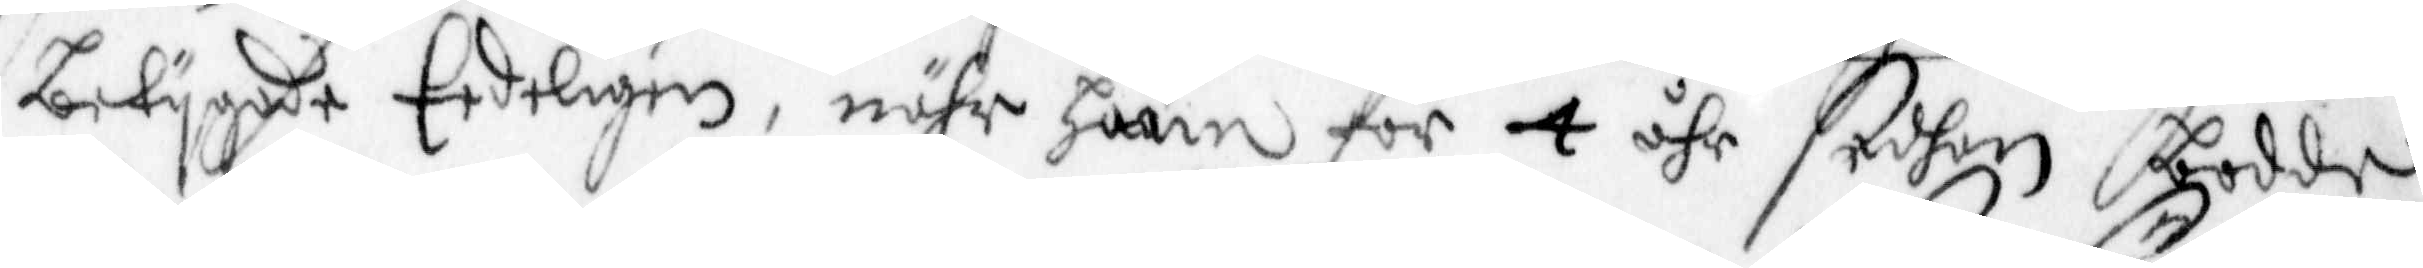betygade Eedeligen, nähr hann för 4 åhr sedhan bodde
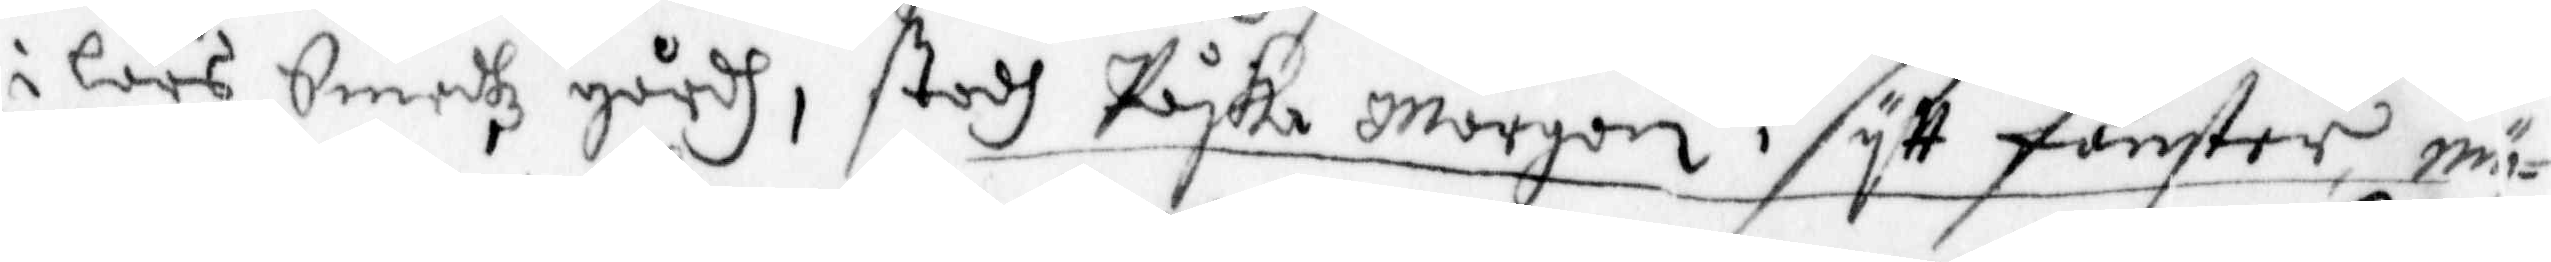i Lars Smedhz gårdh, stodh Påska Mårgon i sitt fönster, mä¬
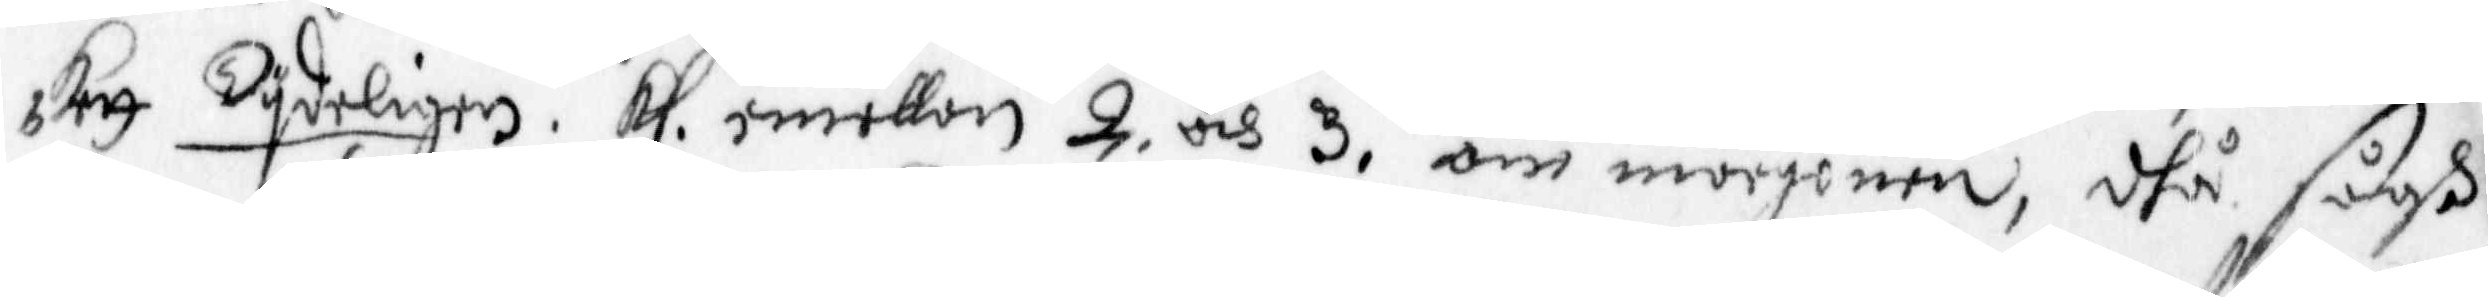kett Tydeligen kl. emellan 2 och 3 om morgonen, dhå sågh
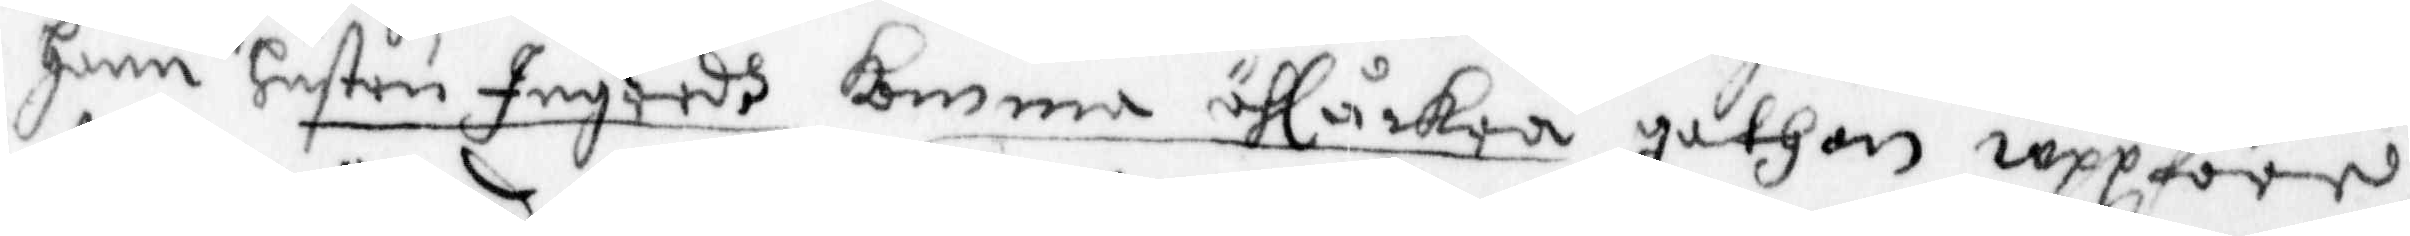hann hustru Ingredh komma öhlåckra gathan uppföre,
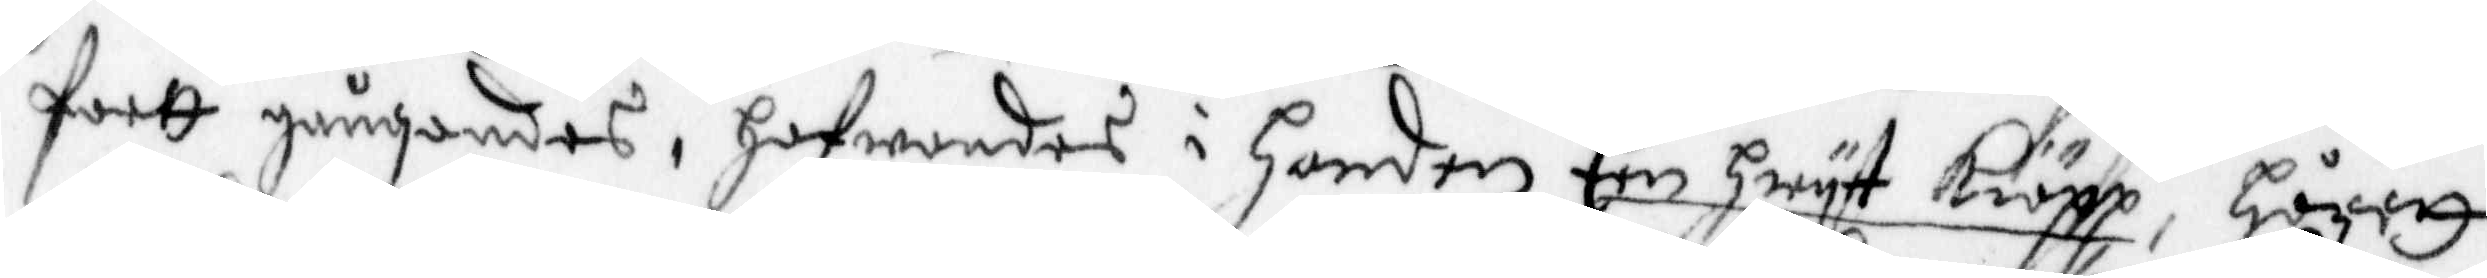fortt gångandes, hafwandes i handen Een hwyt kiäpp, Hörett
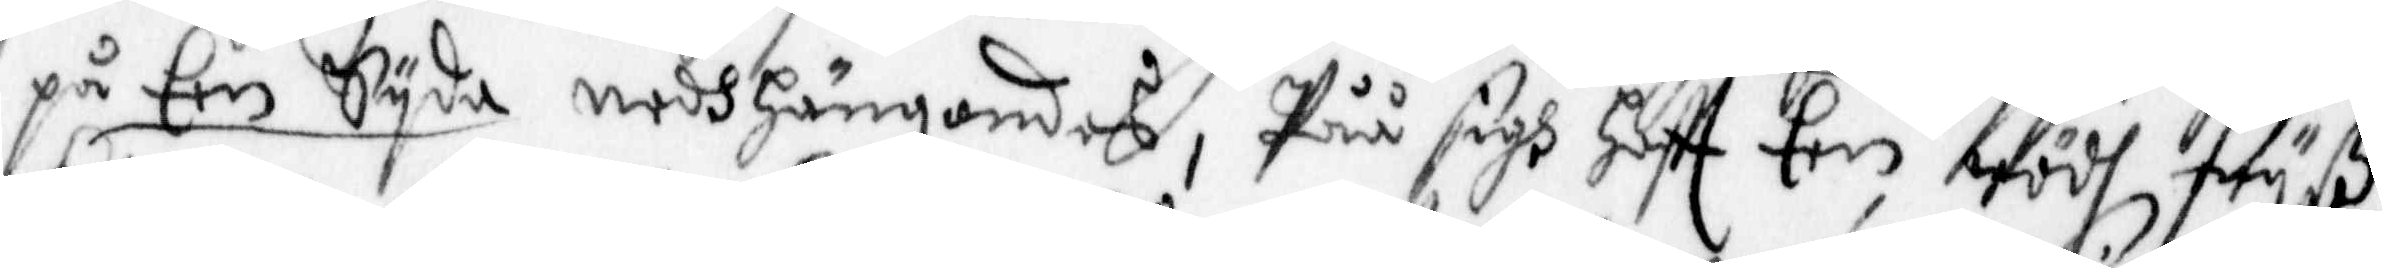på Een Syda nedhängandes, Påå sigh haftt Een rödh, Fruß
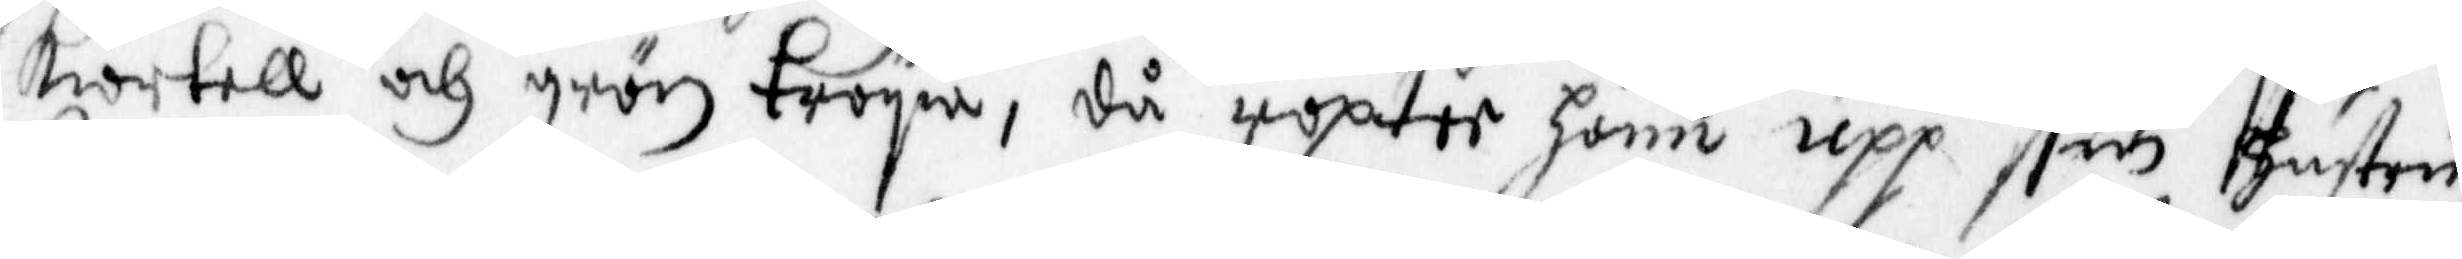kiortell och grön tröyia, då ropter hann upp sin Hustru,
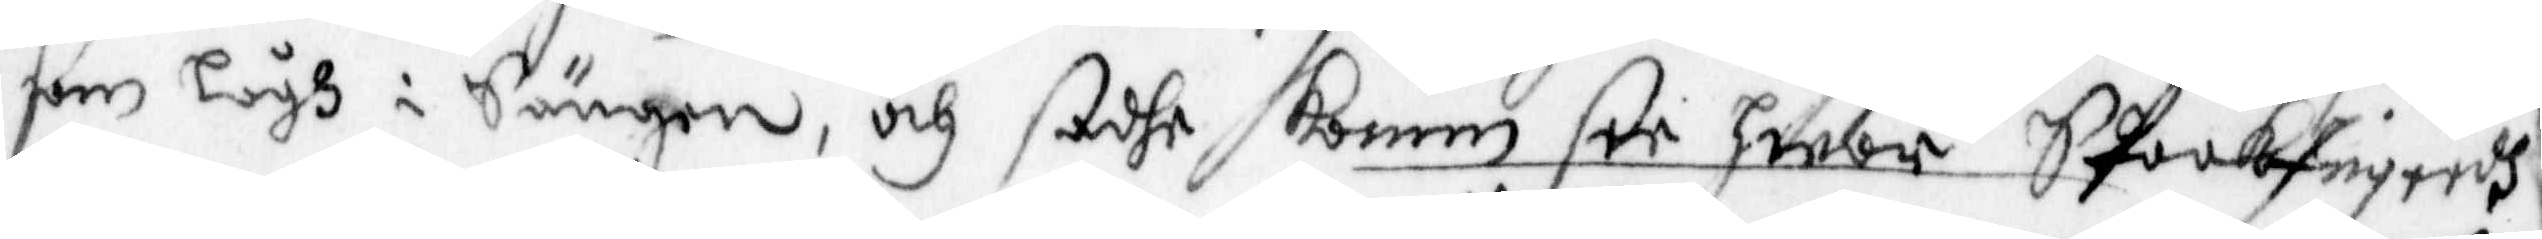som Lågh i Sängen, och sadhe komm see hwar StookIngerdh,
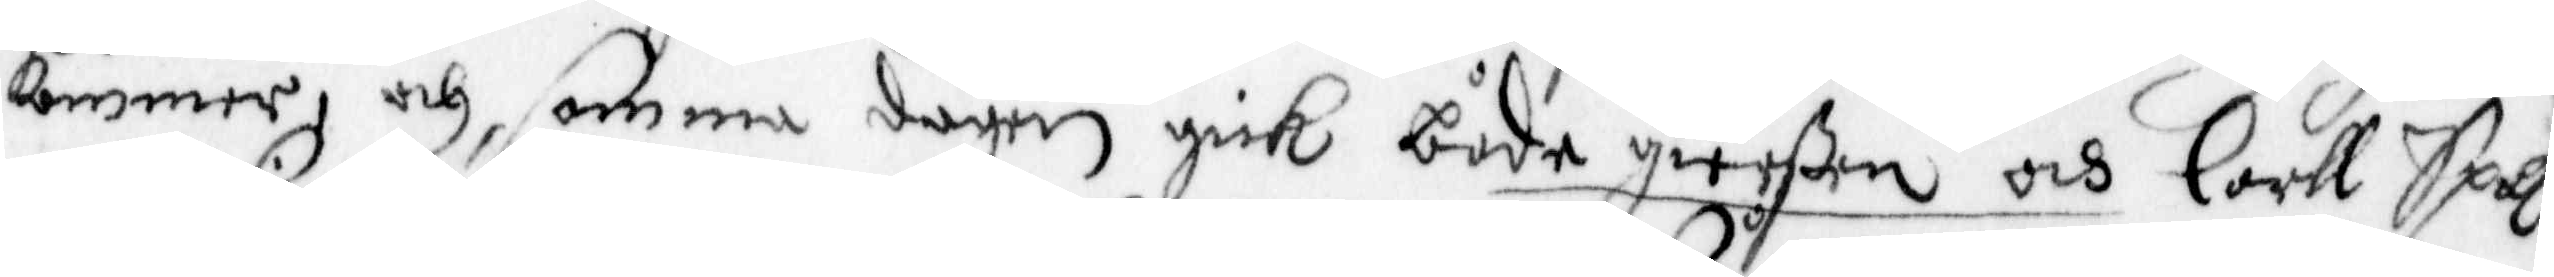kommer, och samma dagen gick både gierßen och Carll Spalk
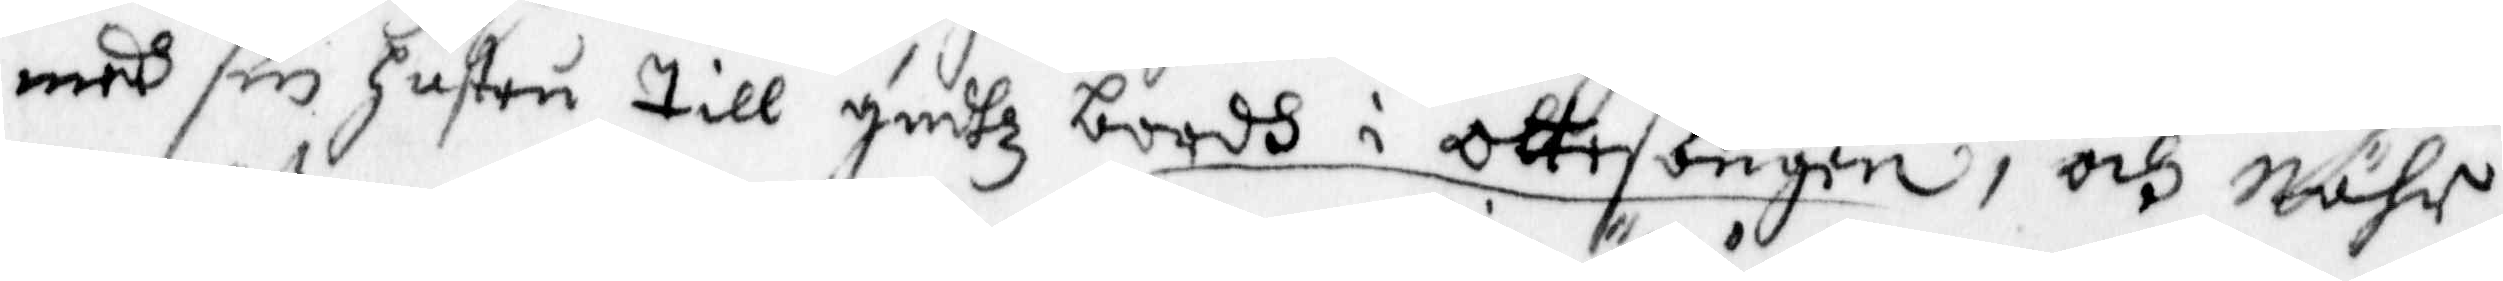med sin hustru till Gudhz bordh i ottesången, och Nähr
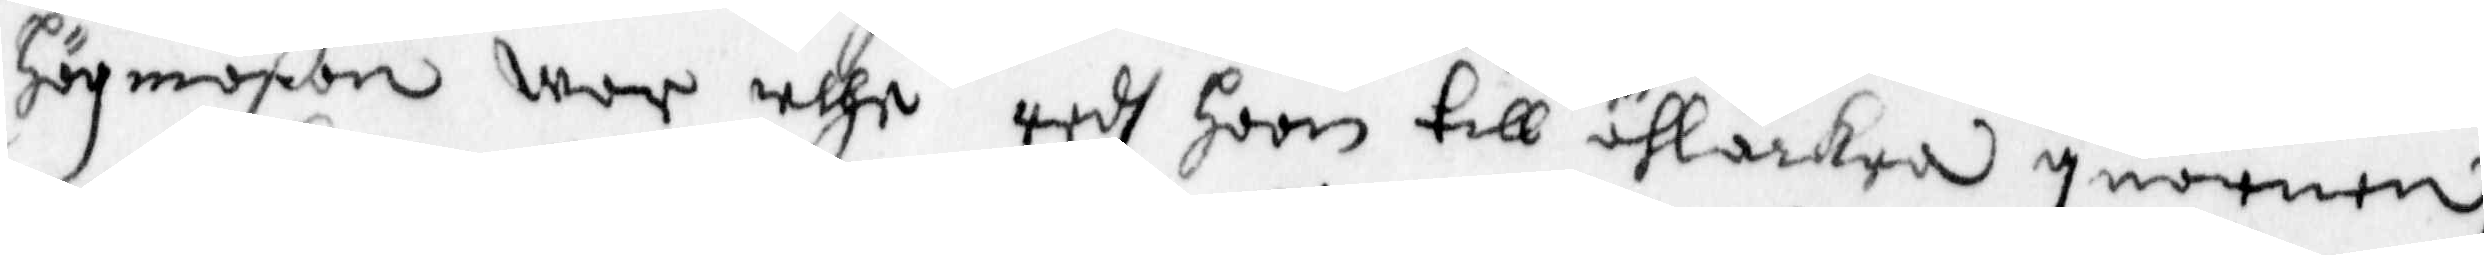Högmäßan war uthe redh hoon till öhlårkra quarnen,
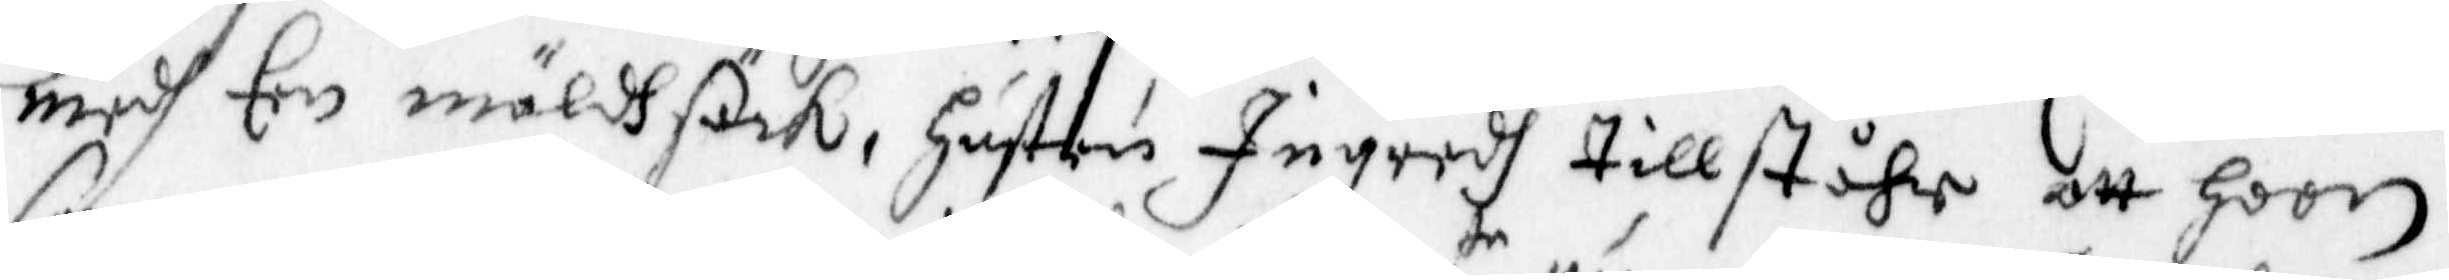medh Een mäldsäck, Hustru Ingredh tillståhr, att hoon
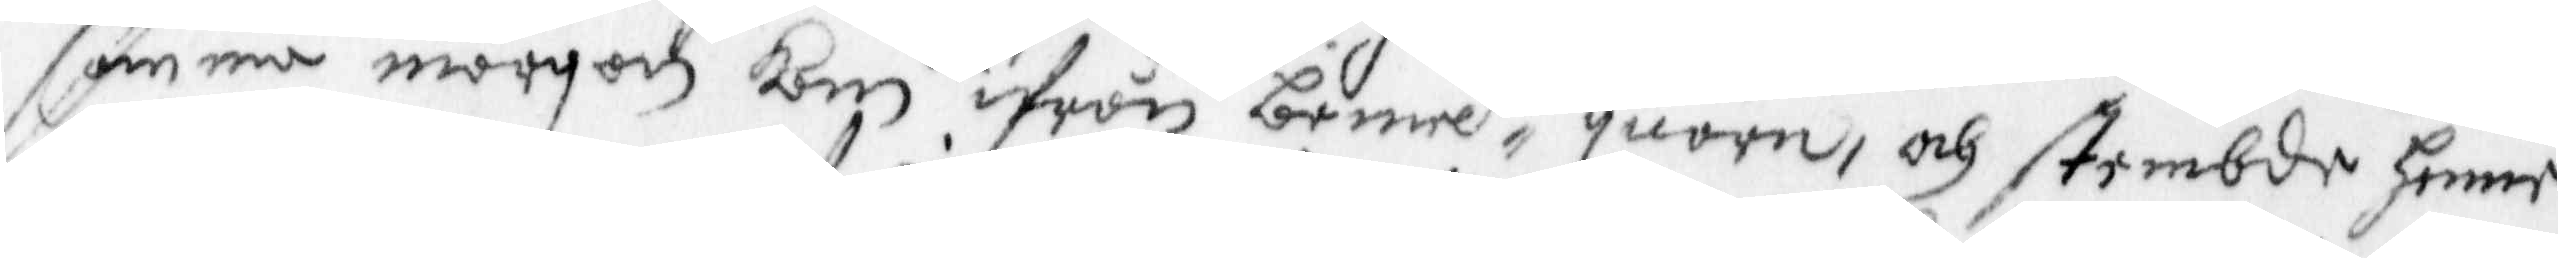samma morgon kom ifrån bemelte, quarn, och stembde henne
